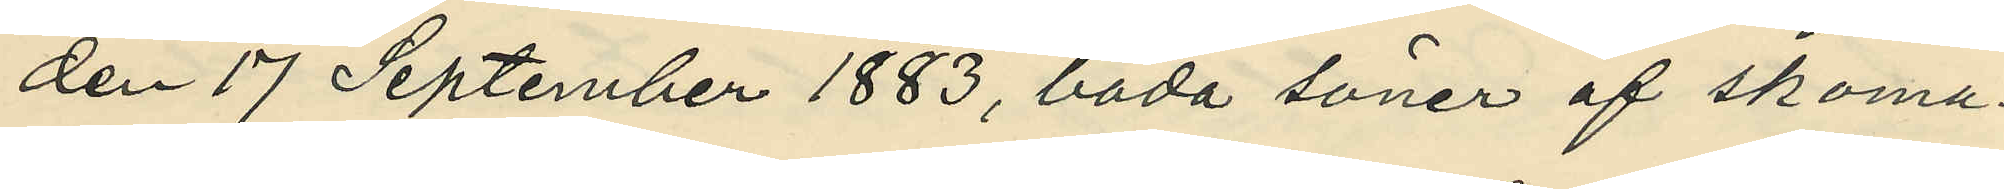den 17 September 1883, båda söner af skoma¬
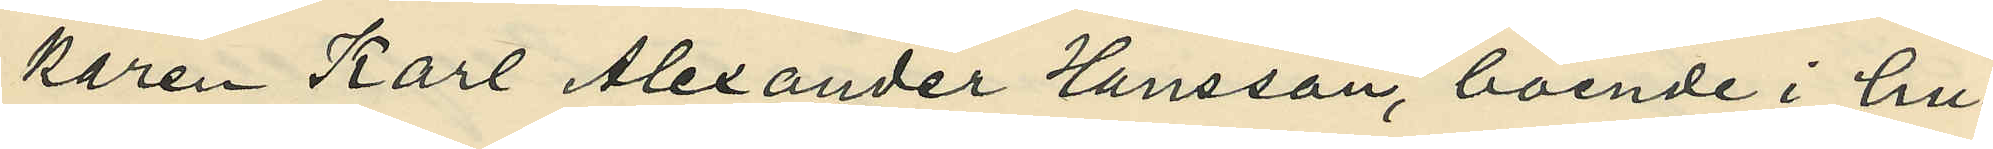kare Karl Alexander Hansson, boende i hu¬
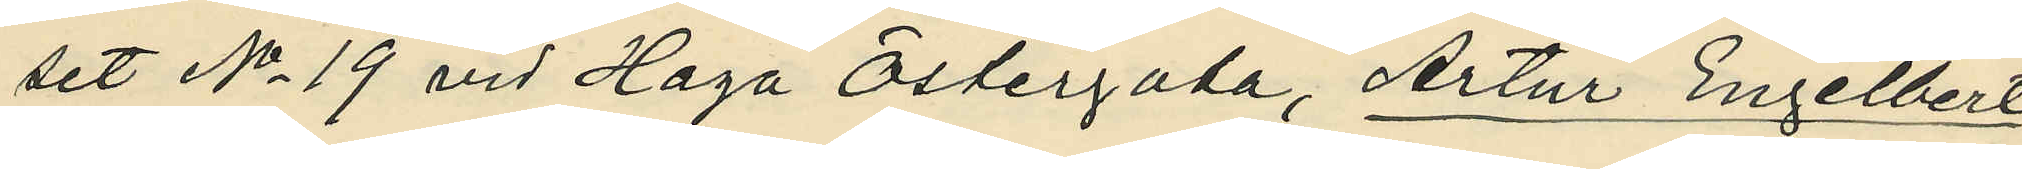set No 19 vid Haga Östergata, Artur Engelbert
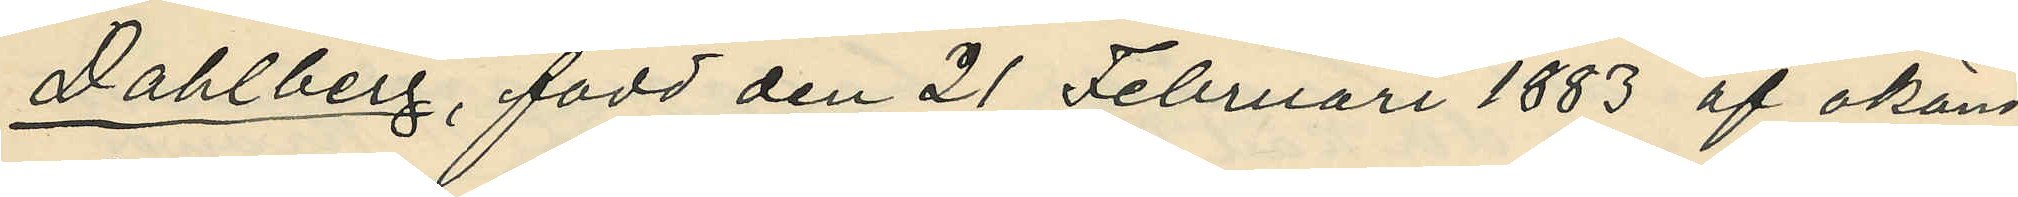Dahlberg, född den 21 Februari 1883 af okänd
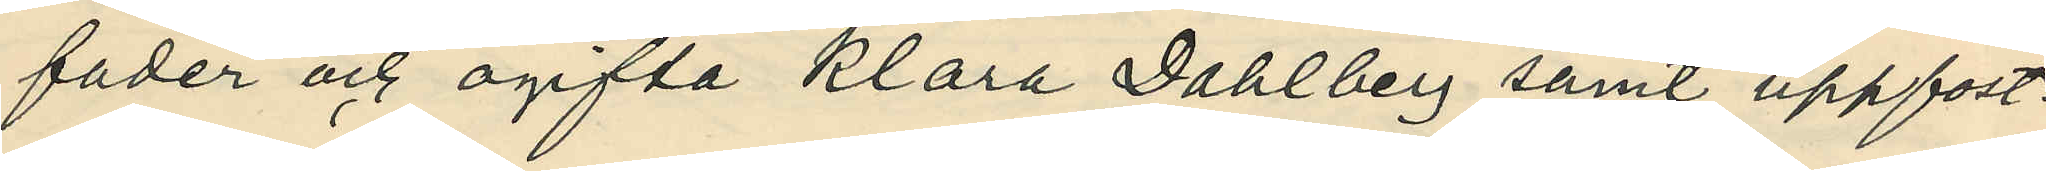fader och ogifta Klara Dahlberg samt uppfost¬
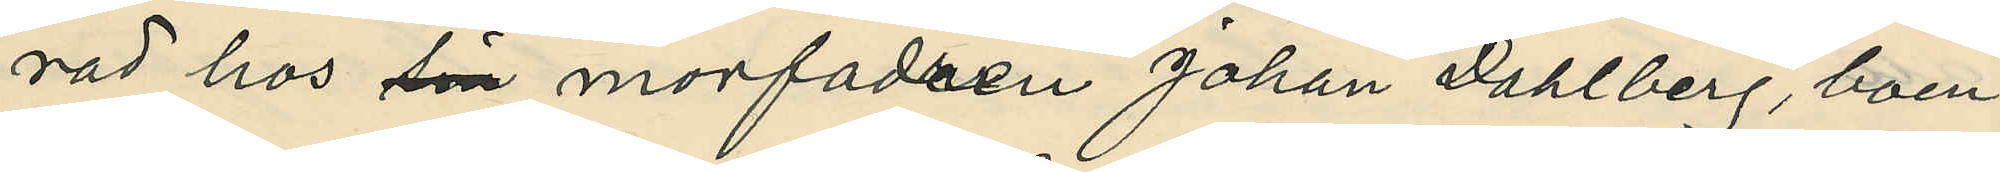rad hos sin morfadren Johan Dahlberg, boen¬
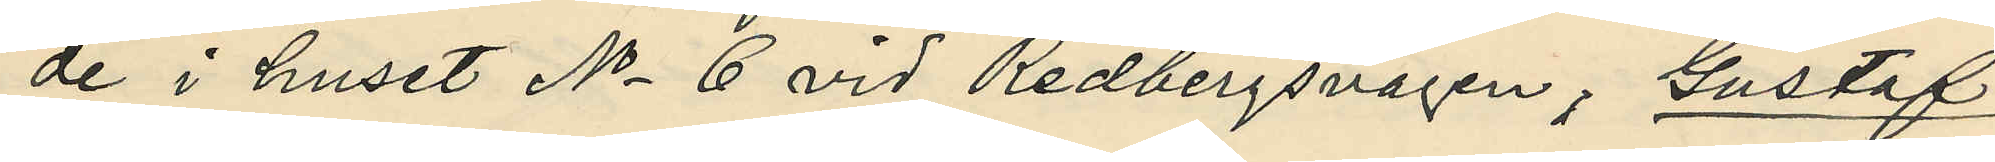de i huset No 6 vid Redbergsvägen, Gustaf
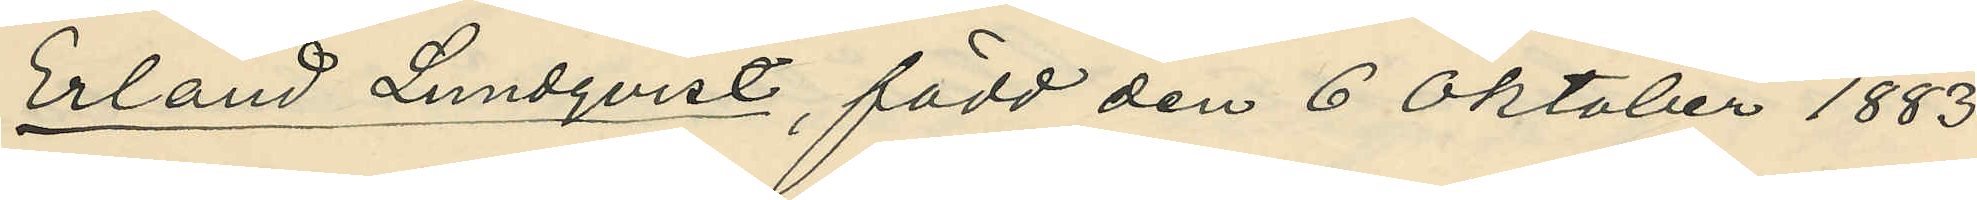Erland Lundqvist, född den 6 Oktober 1883
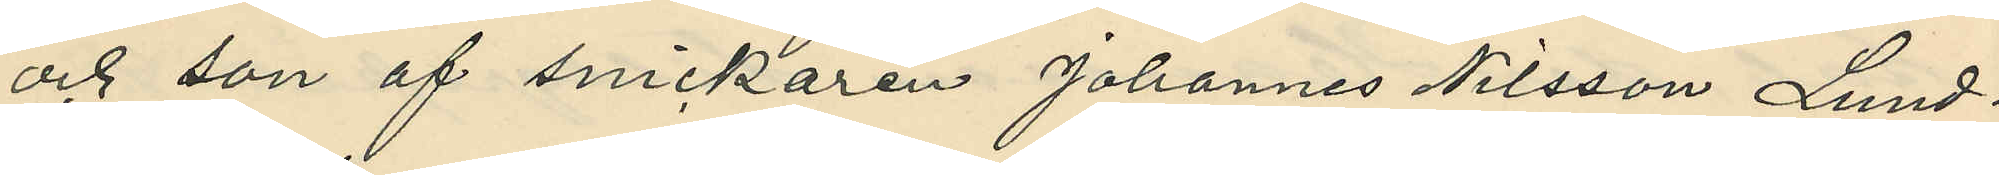och son af snickaren Johannes Nilsson Lund¬
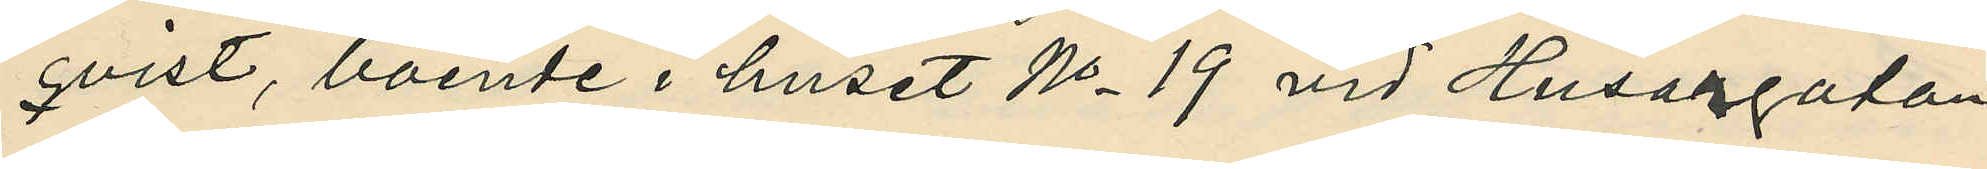qvist, boende i huset No 19 vid Husargatan,
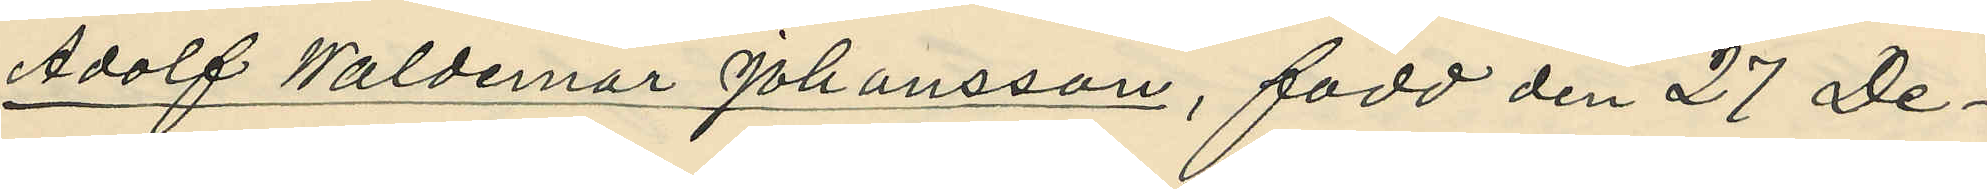Adolf Waldemar Johansson, född den 27 De¬
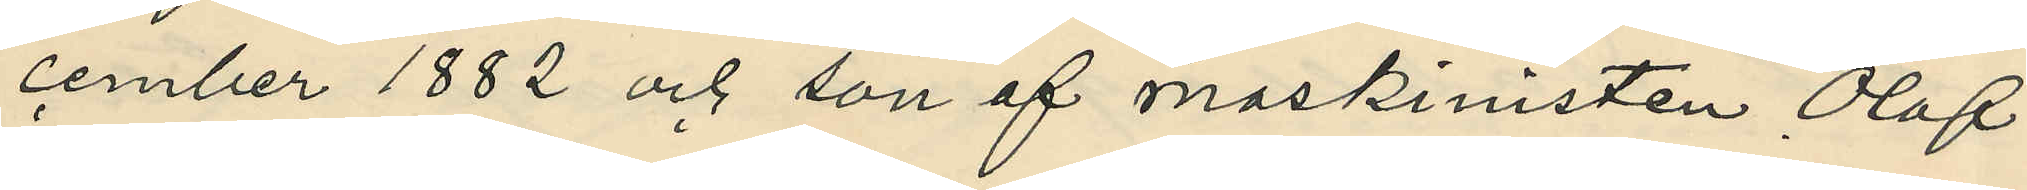cember 1882 och son af maskinisten Olof
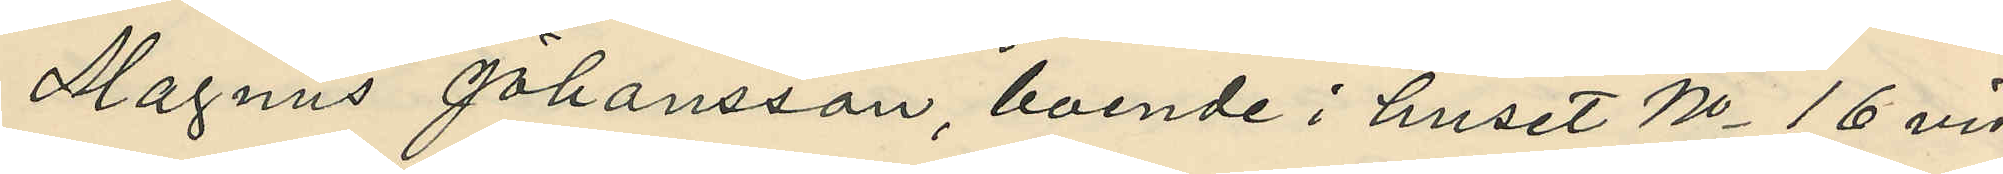Magnus Johansson, boende i huset No 16 vid
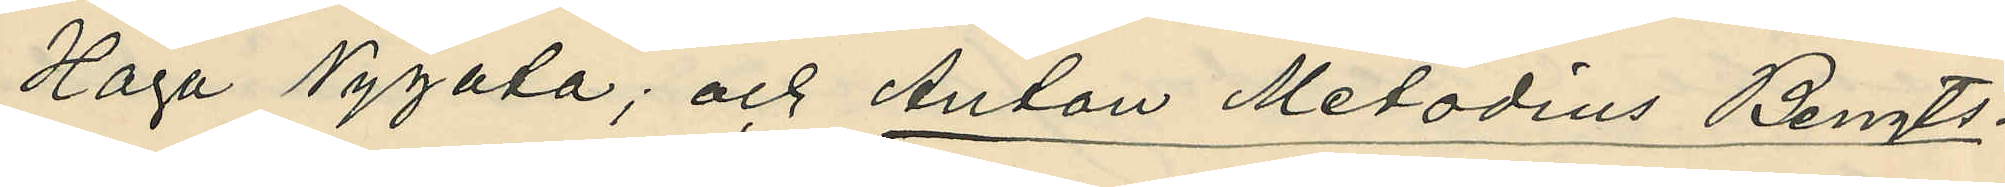Haga Nygata; och Anton Metodius Bengts¬
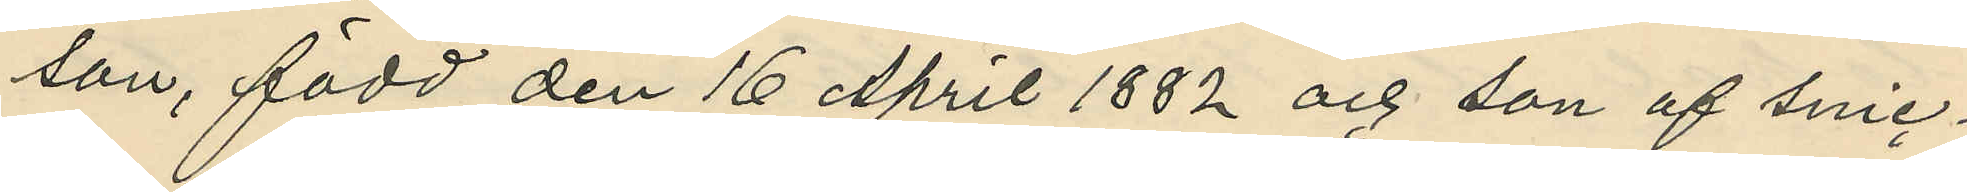son, född den 16 April 1882 och son af snic¬
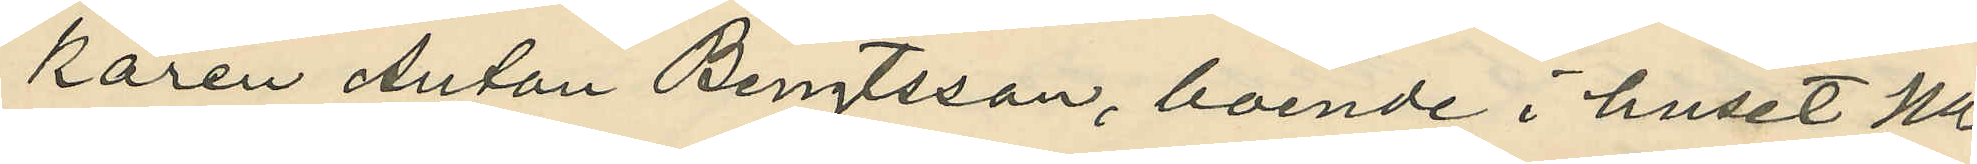karen Anton Bengtsson, boende i huset No
